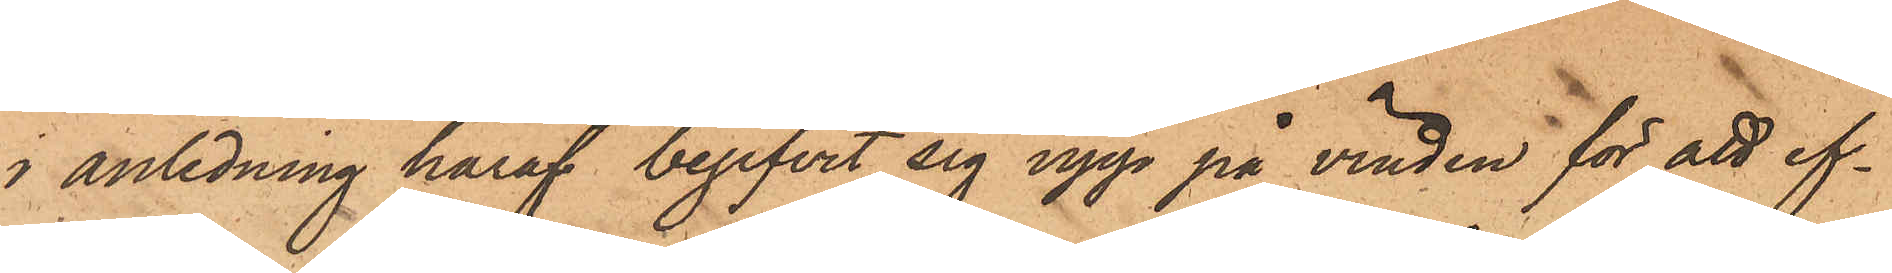i anledning häraf begifvit sig upp på vinden för att ef¬
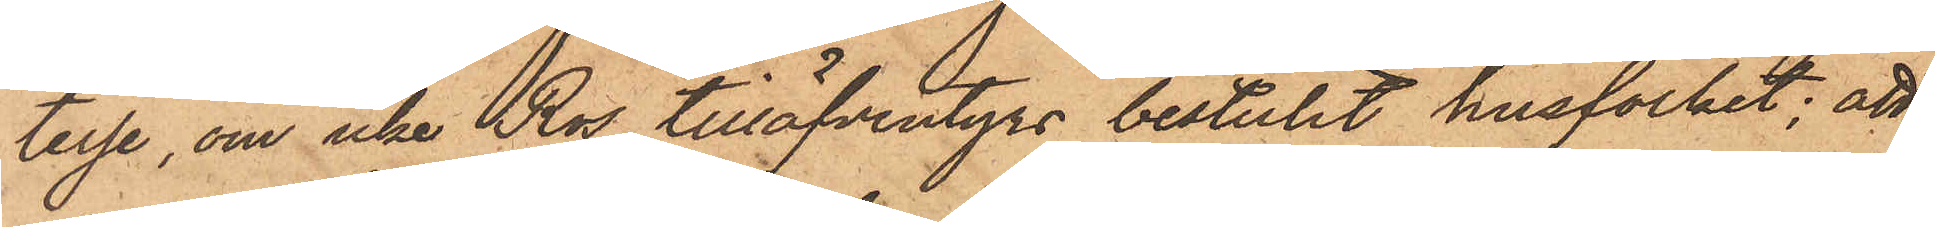terse, om icke Ros tilläfventyrs bestulit husfolket; att
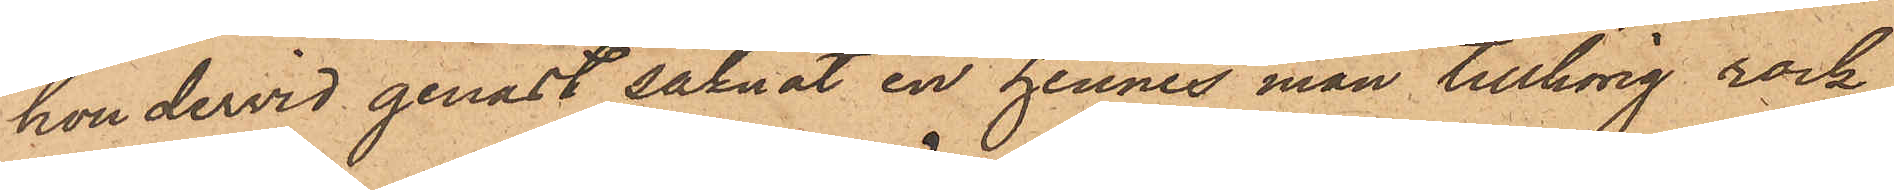hon dervid genast saknat en hennes man tillhörig rock
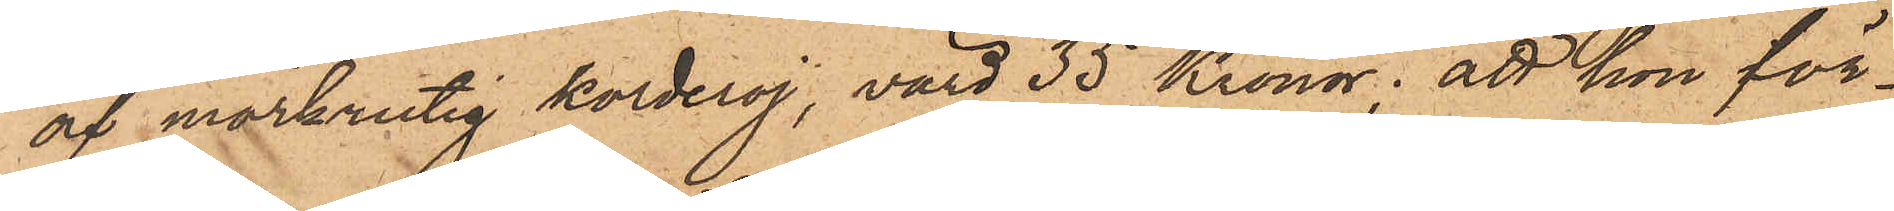af mörkrutig korderoj, värd 35 Kronor; att hon för¬
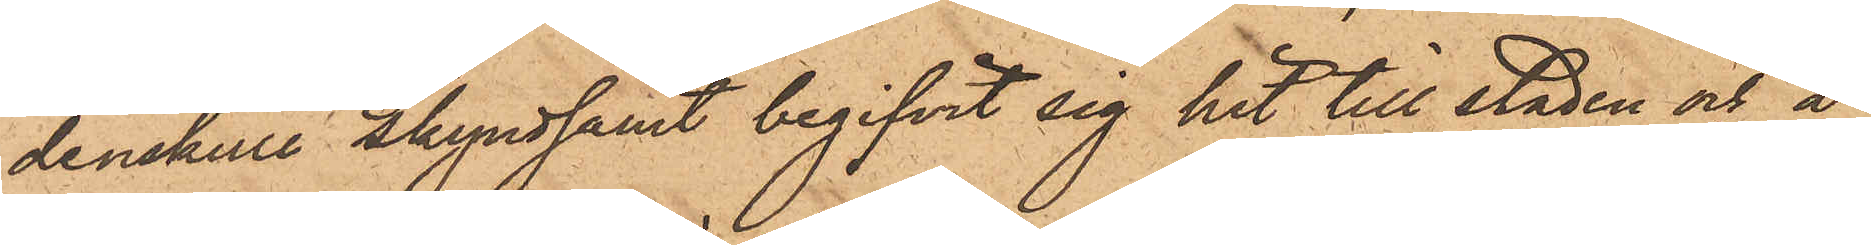denskull skyndsamt begifvit sig hit till staden och å
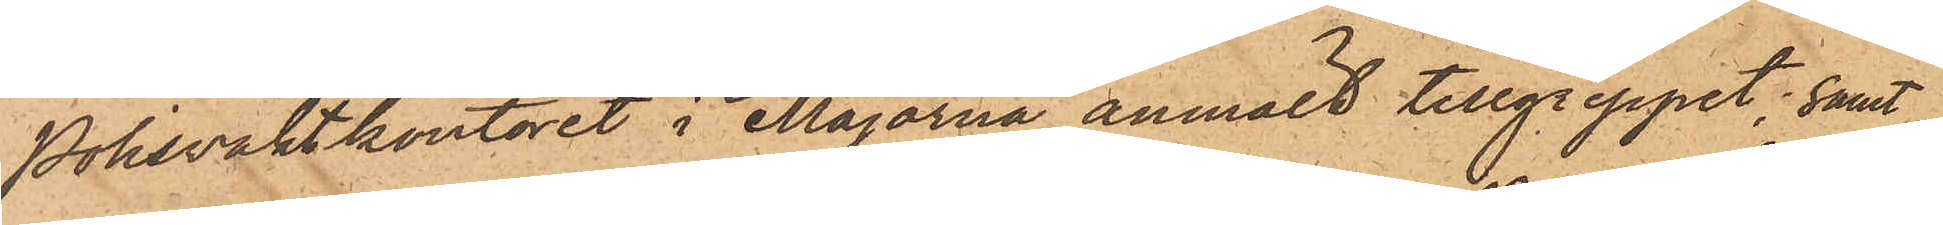Polisvaktkontoret i Majorna anmält tillgreppet; samt
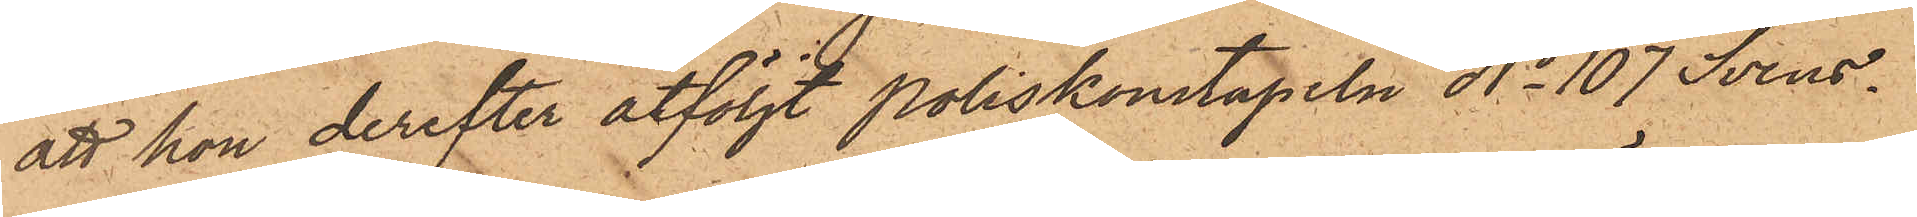att hon derefter åtföljt Poliskonstapeln No 107 Svens¬
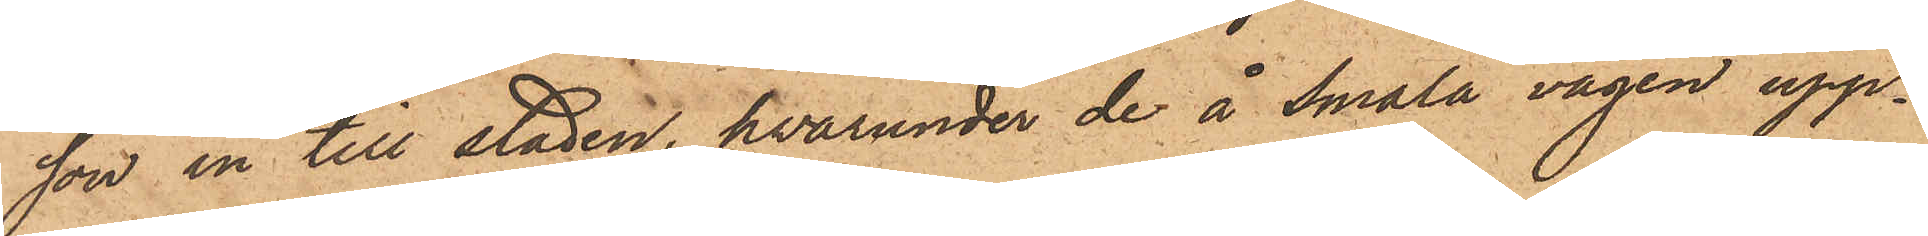son in till staden, hvarunder de å Smala vägen upp¬
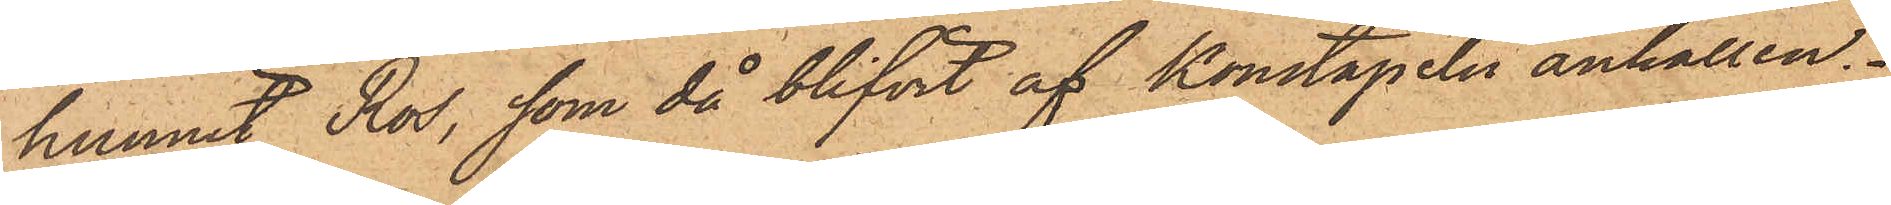hunnit Ros, som då blifvit af konstapeln anhållen.
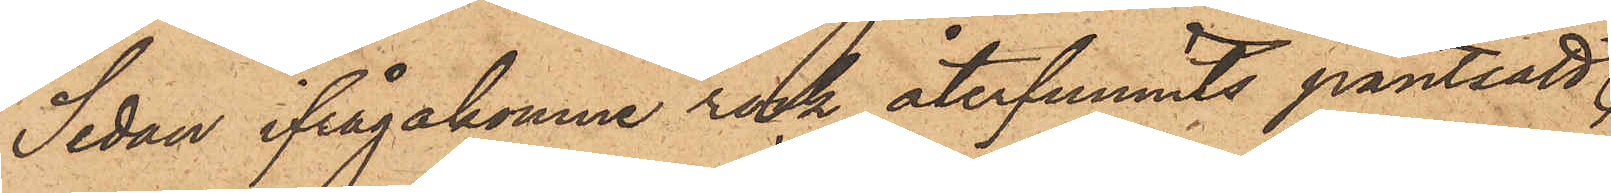Sedan ifrågakomne rock återfunnits pantsatt
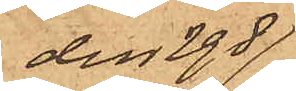den 29 d
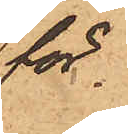för
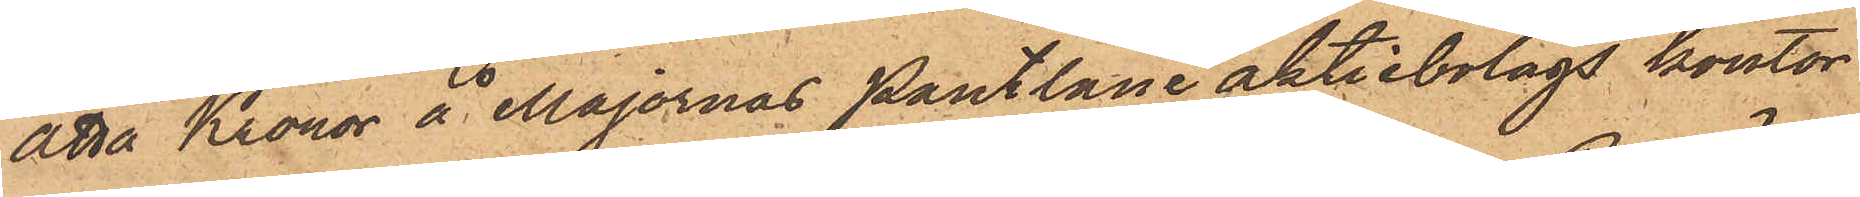åtta Kronor å Majornas Pantlåne aktiebolags kontor
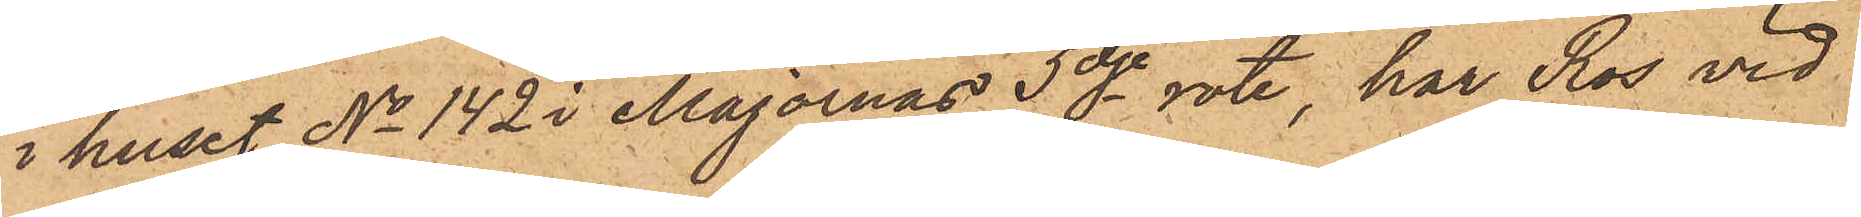i huset No 142 i Majornas 3dje rote, har Ros vid
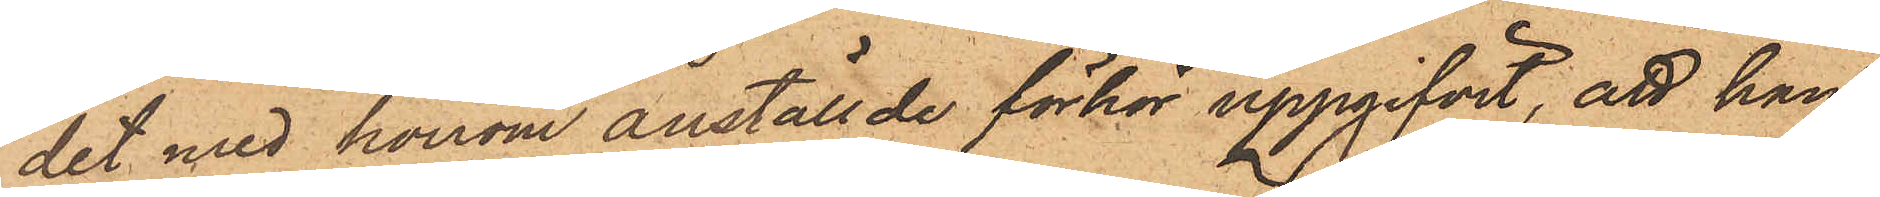det med honom anställde förhör uppgifvit, att han
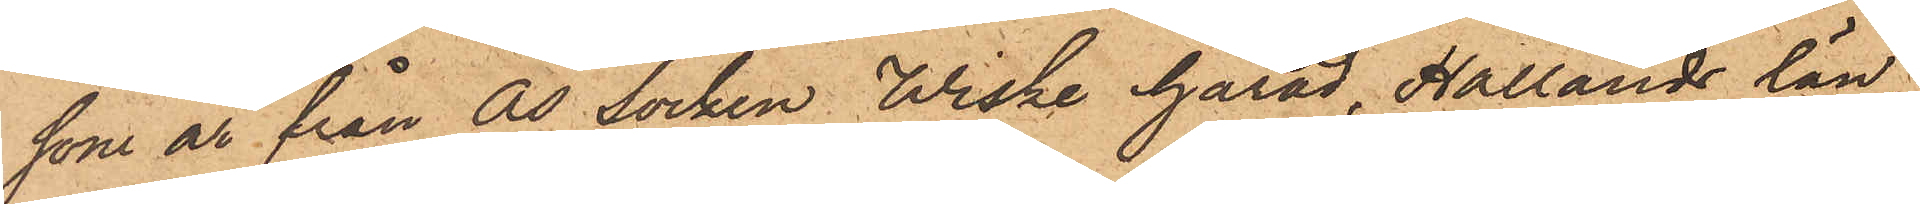som är från Ås socken Wiske härad, Hallands län,
